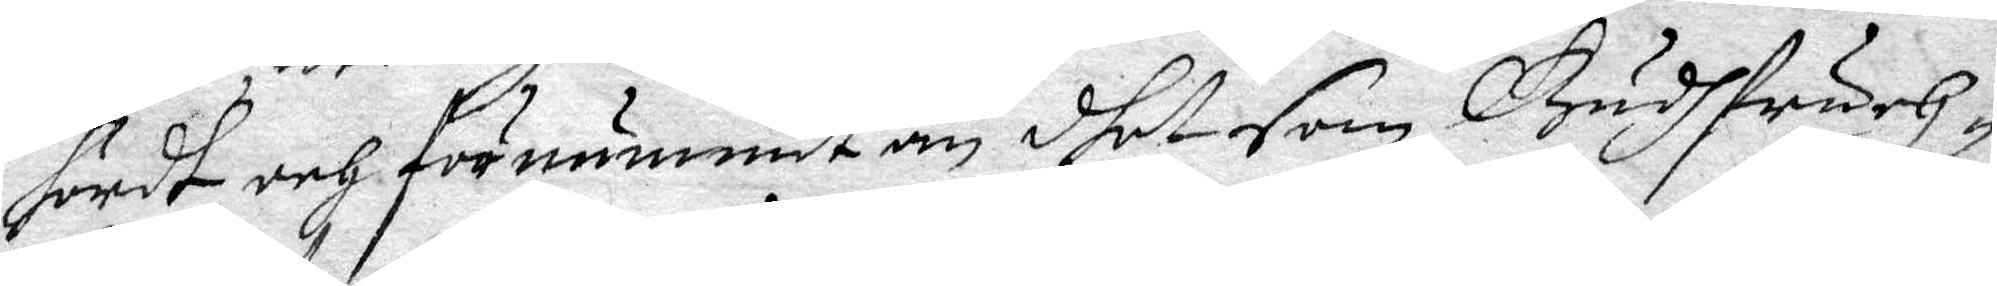hördt och förnummit än dhet som Gudhfruch¬
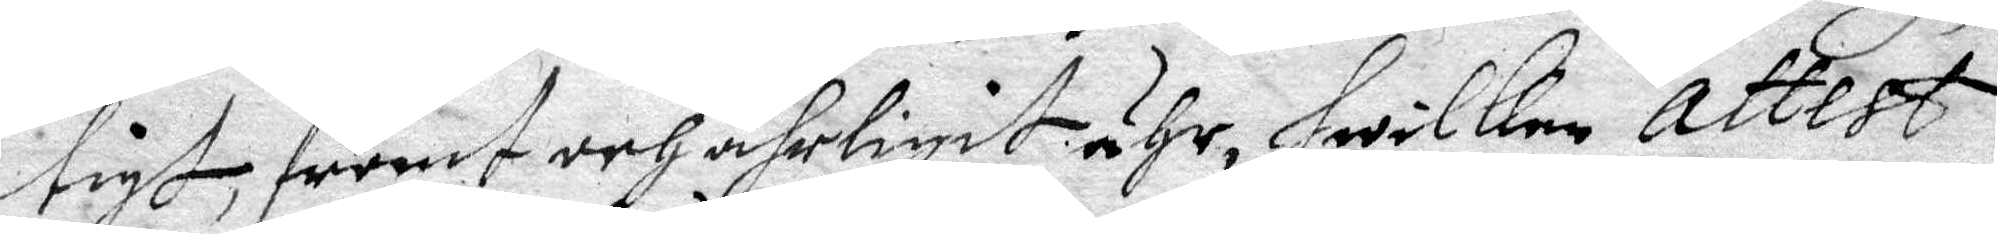tigt, fromt och ährligit ähr, hwilken attest
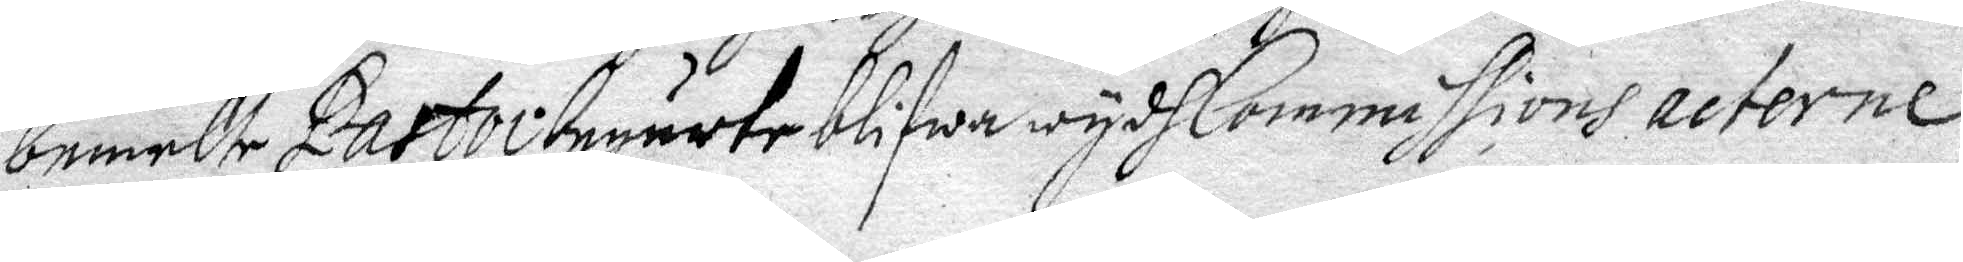bemelte Pastor begärte blifwa wydh Commissions acterne
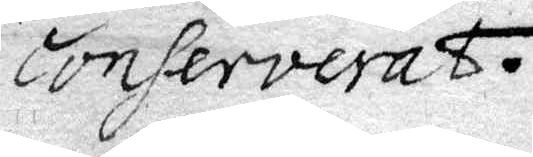conserverat.
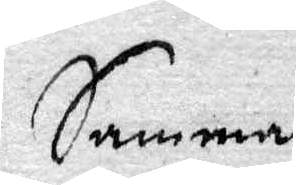Samma
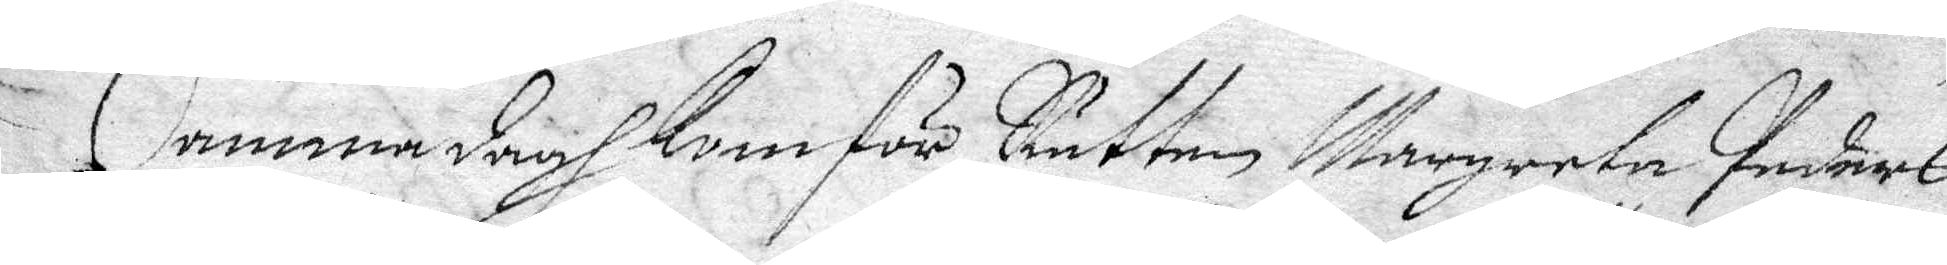Samma dagh kom för Rätten Margareta Peders¬
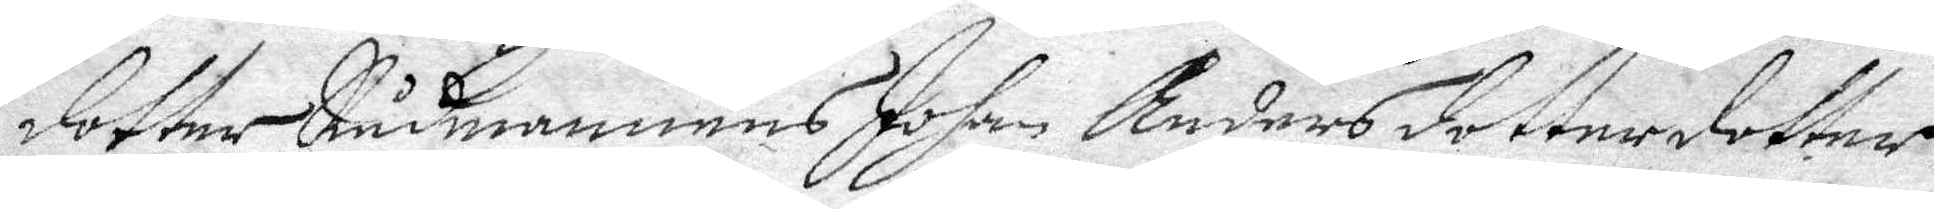dotter Rådmannens Johan Anders dotterdotter
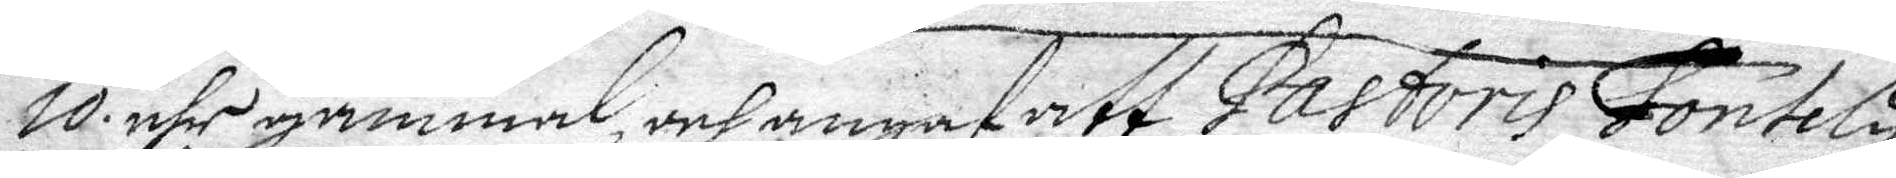10 åhr gammal och angaf att Pastoris Fontely
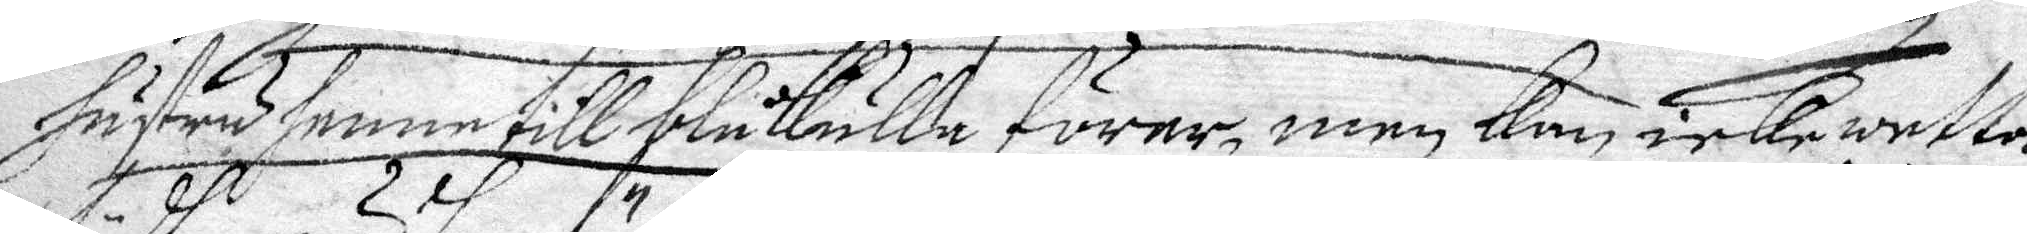hustru henne till blåkulla förer, men kan icke wetta
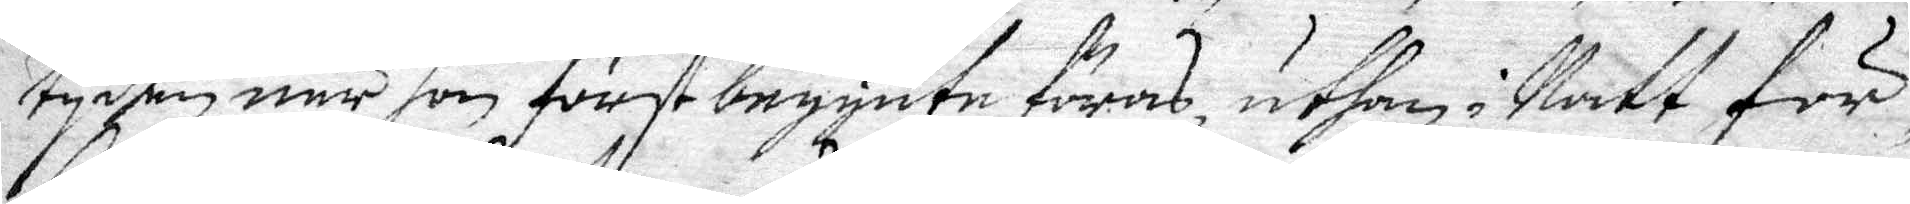tyden när hon först begynte föras, uthan i Natt för¬
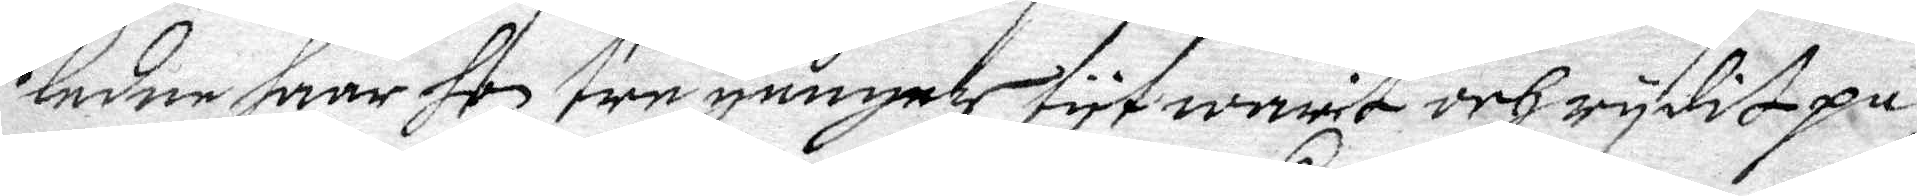ledne haar hon tre gånger tyt warit och rydit på
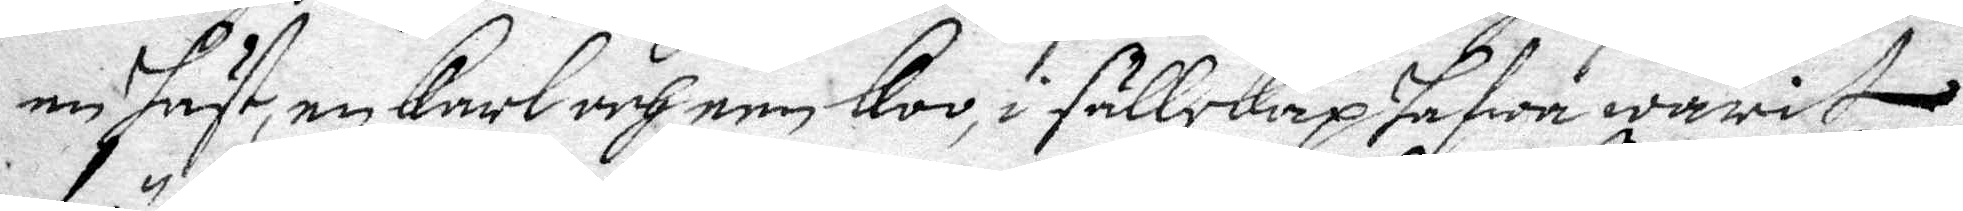en häst, en karl och een koo, i sällskap hafwa warit
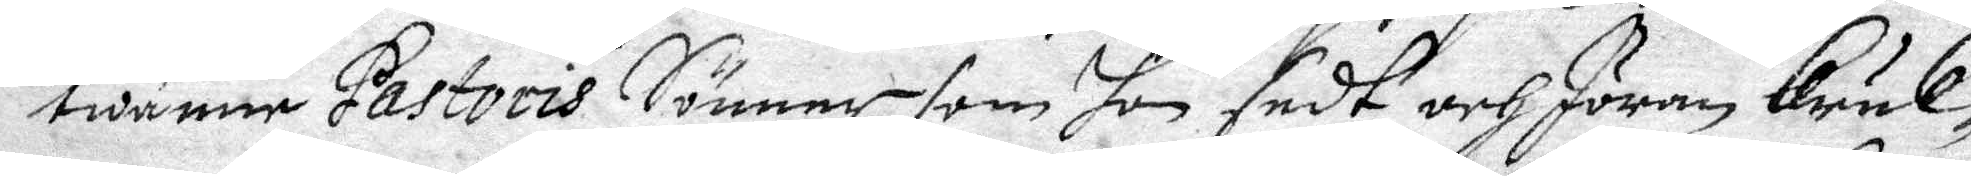twänne Pastoris Sönner som hon sedt, och Jöran bänk¬
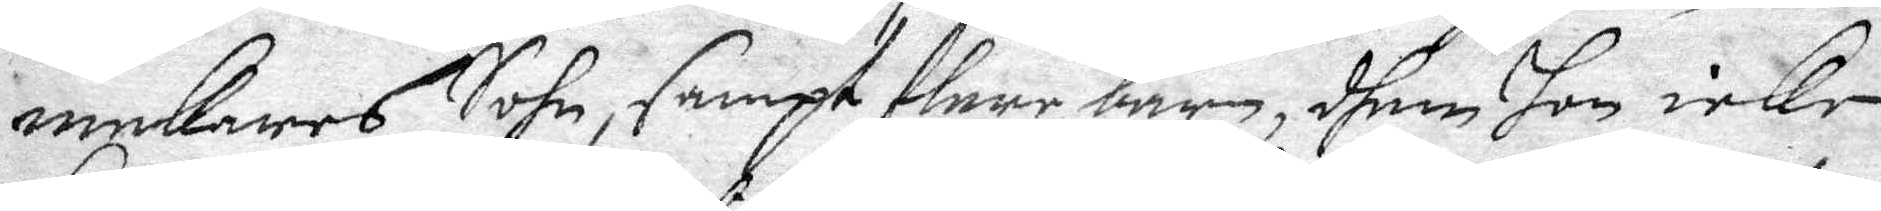makares Sohn, smapt flere barn, dhem hon icke
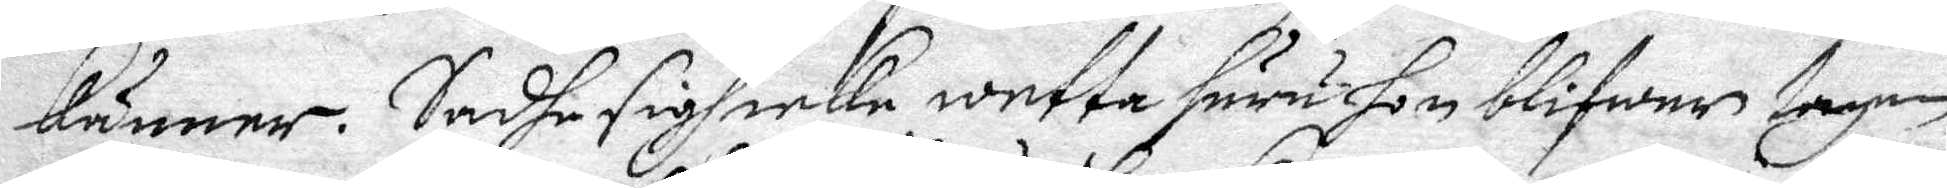känner. Sadhe sigh icke wetta huru hon blifwer tagen
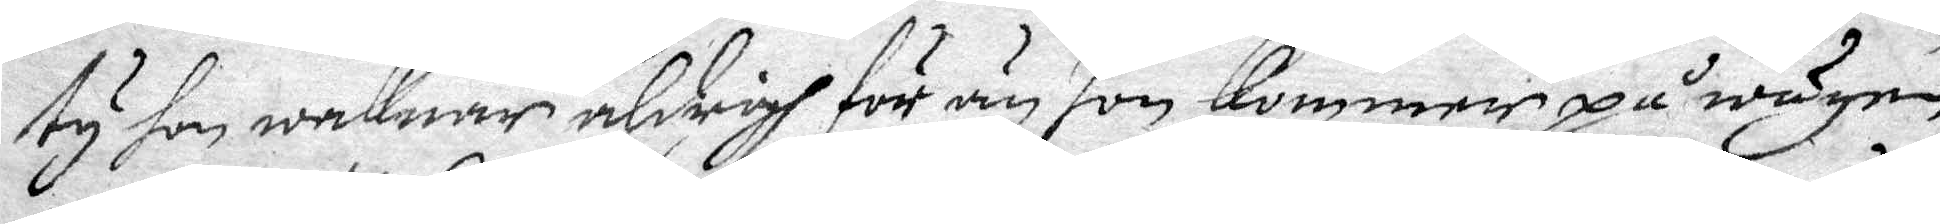ty hon waknar aldrig för än hon kommer på wägen,
